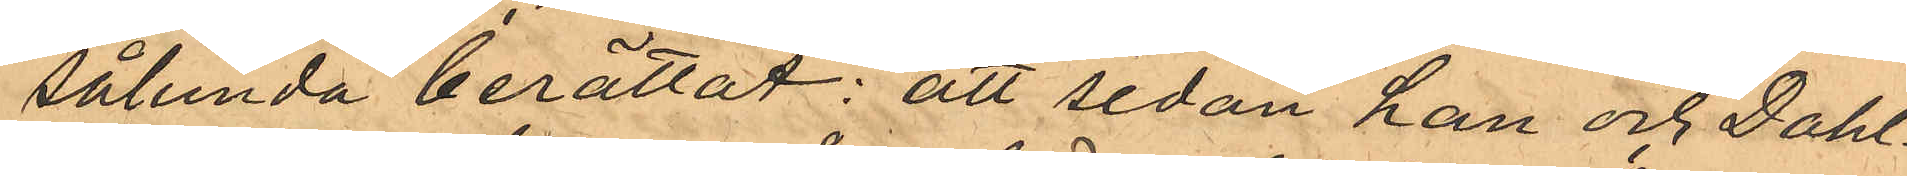sålunda berättat: att sedan han och Dahl¬
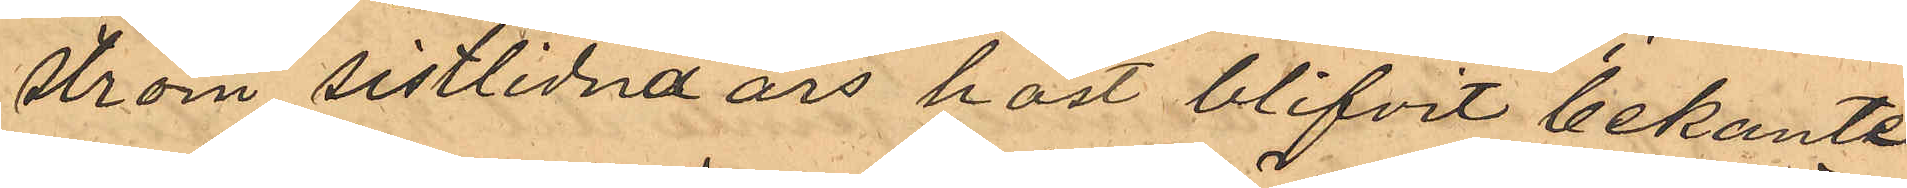ström sistlidna års höst blifvit bekanta
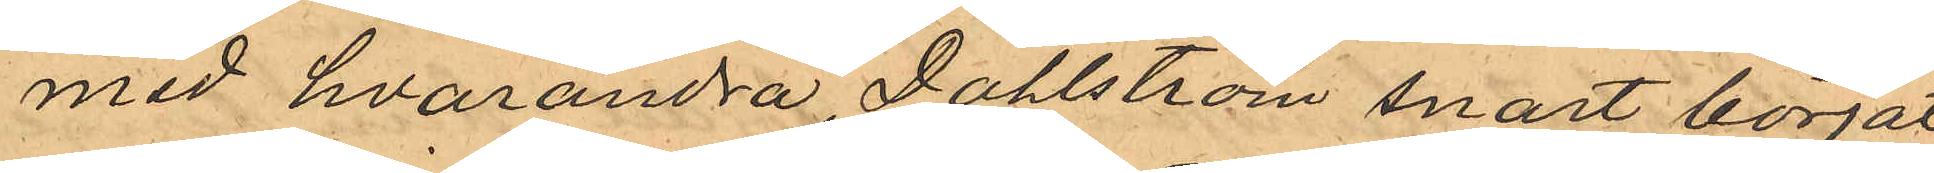med hvarandra, Dahlström snart börjat
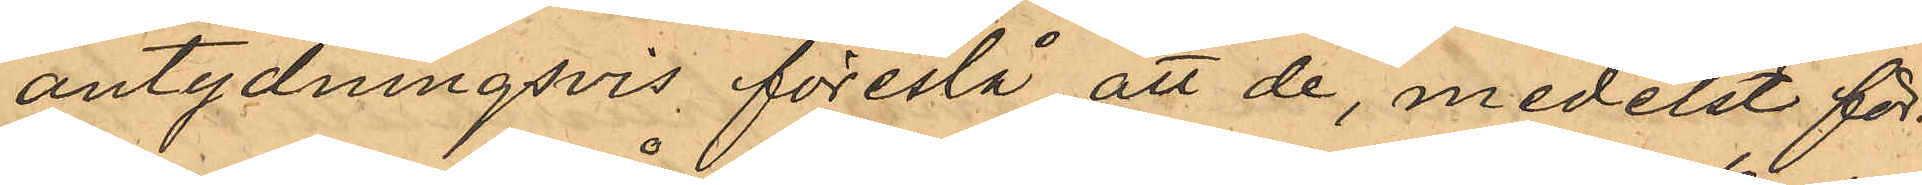antydningsvis föreslå att de, medelst för¬
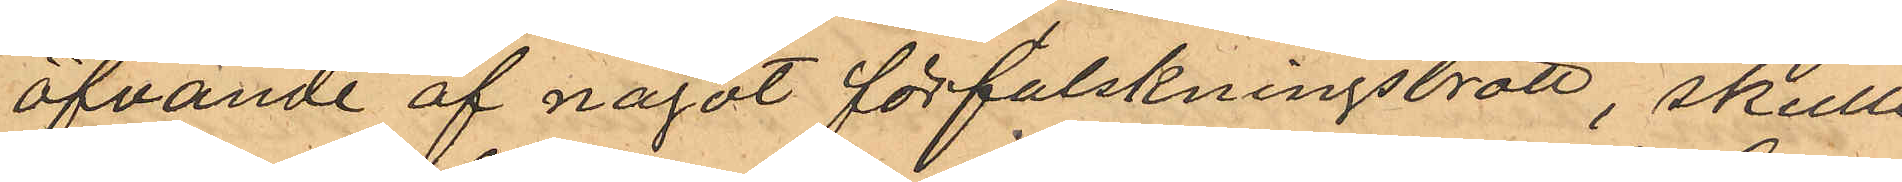öfvande af något förfalskningsbrott, skulle
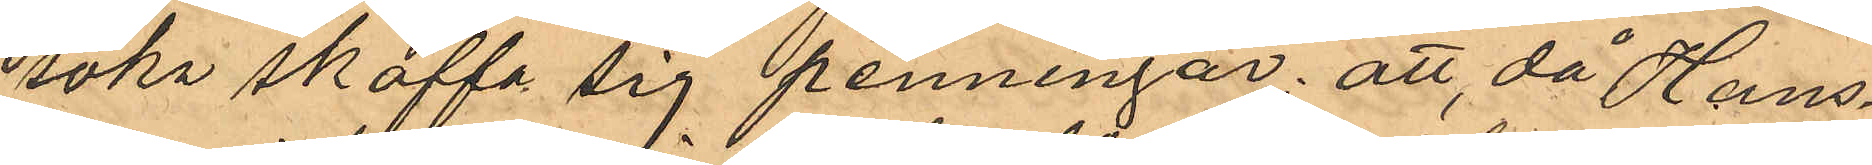söka skaffa sig penningar; att då Hans¬
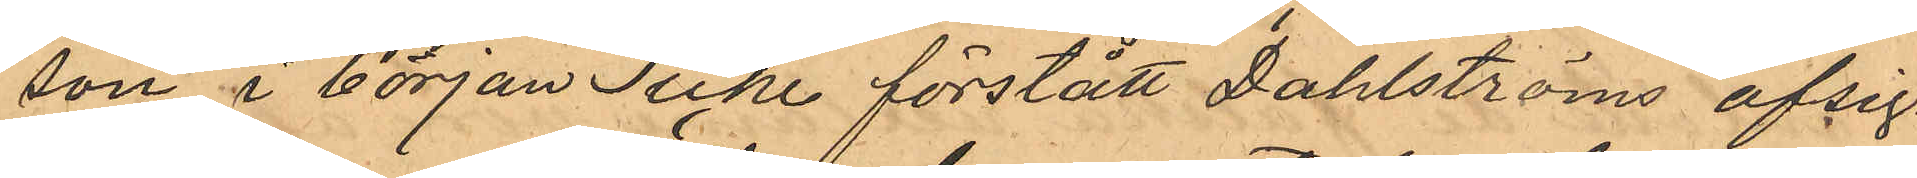son i början icke förstått Dahlströms afsig¬
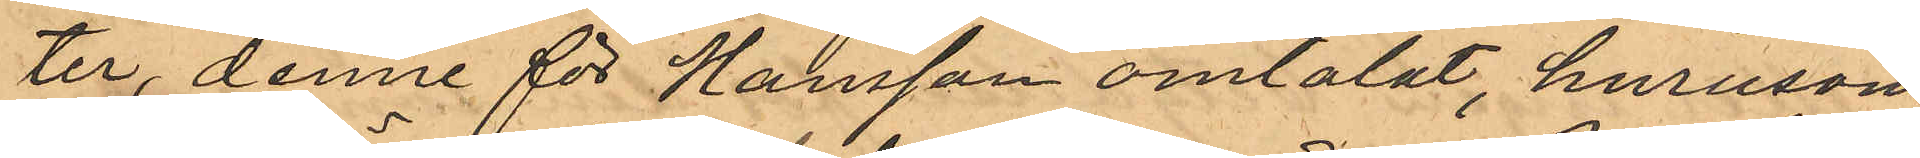ter, denne för Hansson omtalat, hurusom
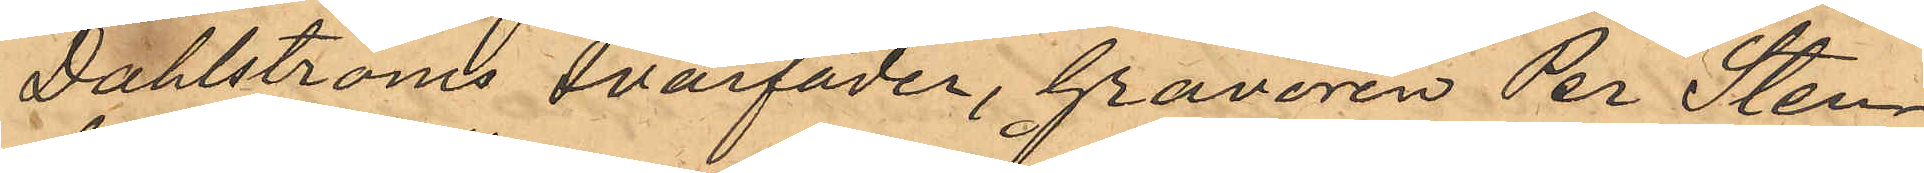Dahlströms svärfader, Gravören Per Sten¬
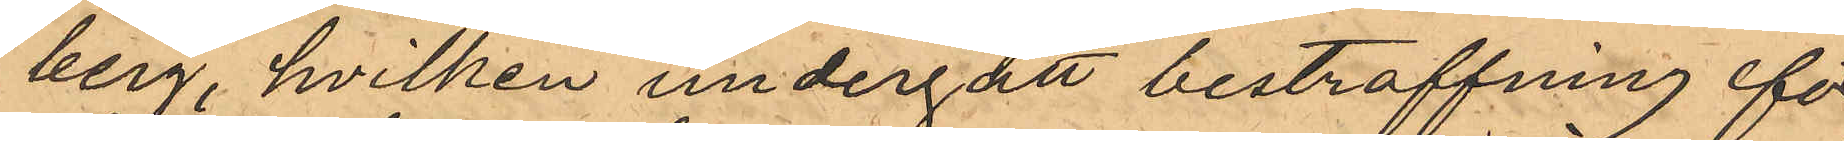berg, hvilken undergått bestraffning för
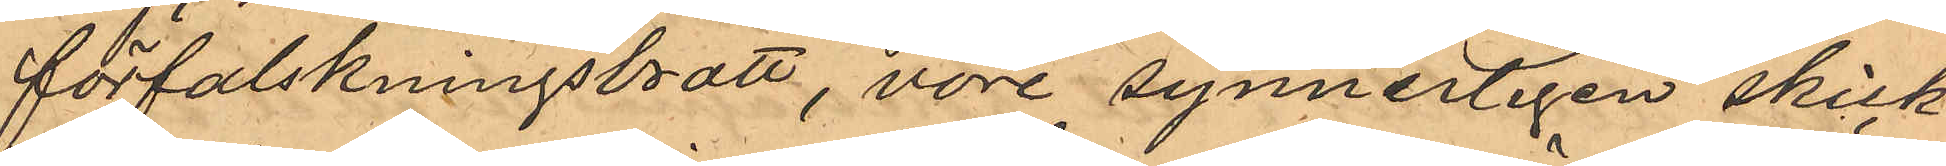förfalskningsbrott, vore synnerligen skick¬
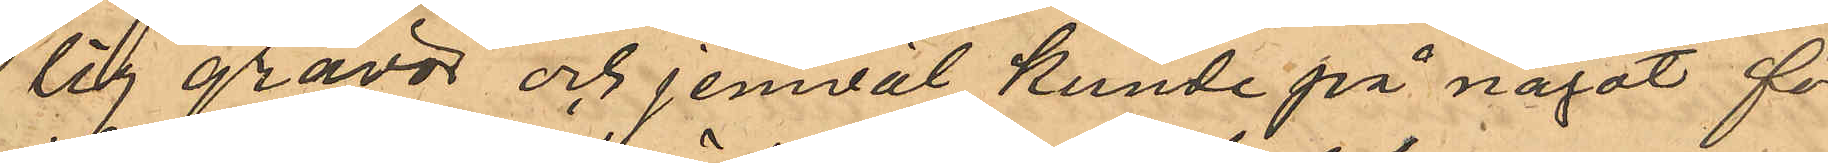lig gravör och jemväl kunde på något för
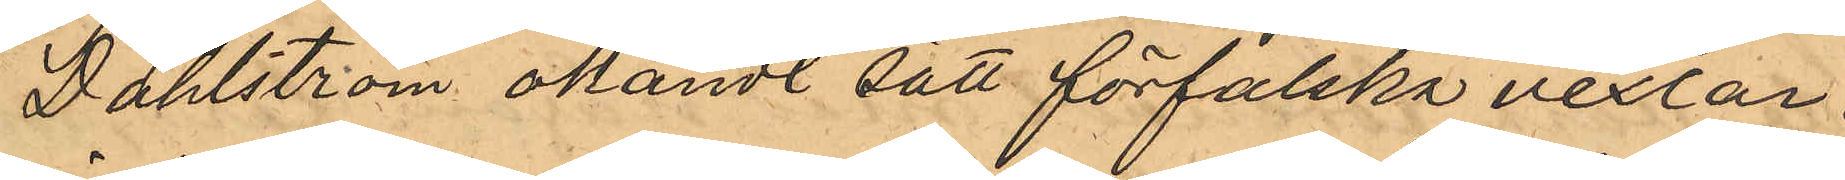Dahlström okändt sätt förfalska vexlar,
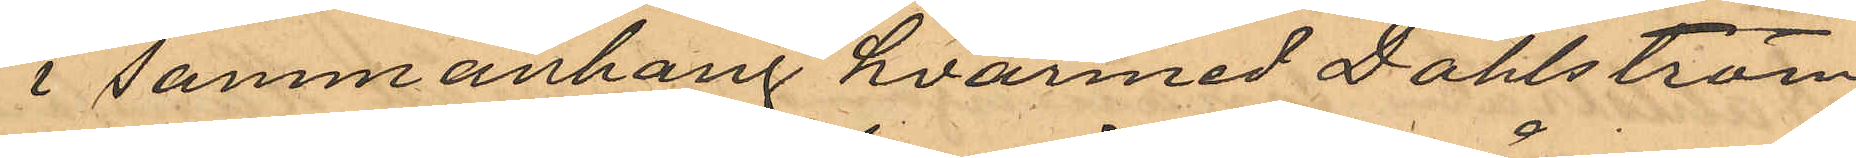i sammanhang, hvarmed Dahlström
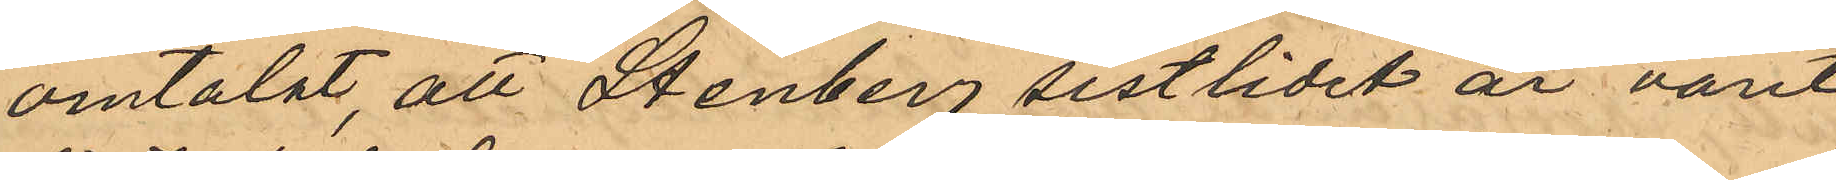omtalat, att Stenberg sistlidet år varit
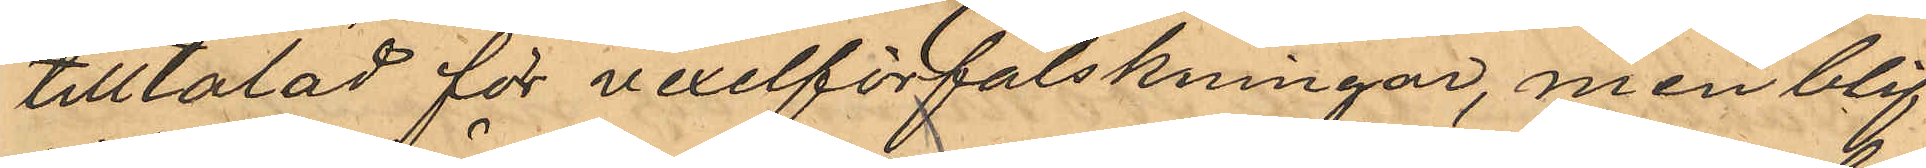tilltalad för vexelförfalskningar men blif¬
